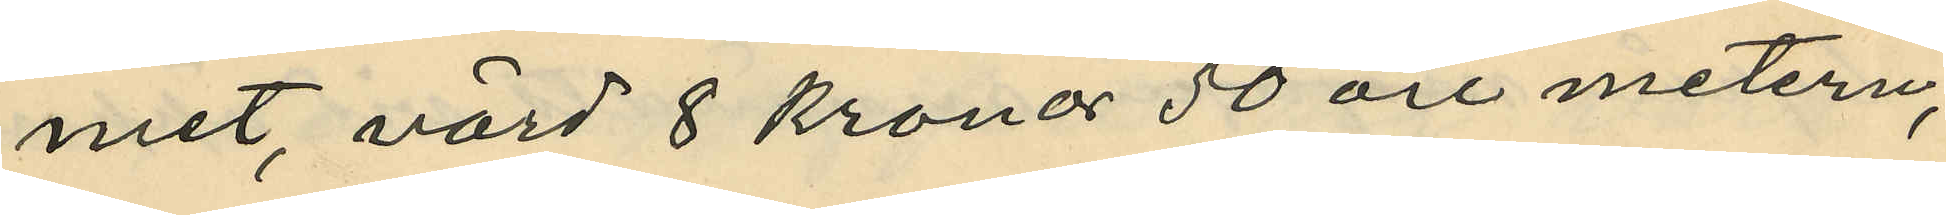met, värd 8 kronor 50 öre metern,
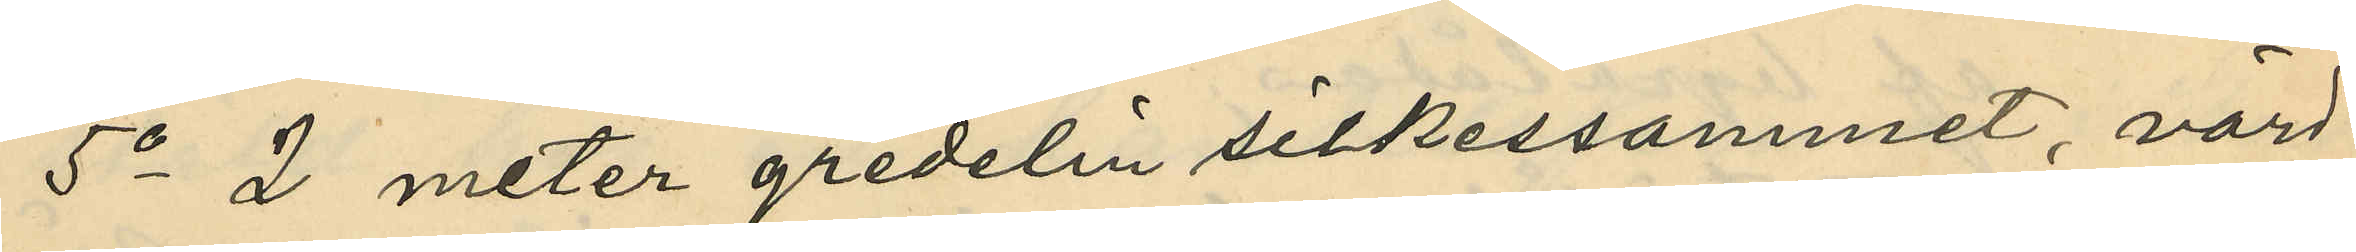5o 2 meter gredelin silkessammet, värd
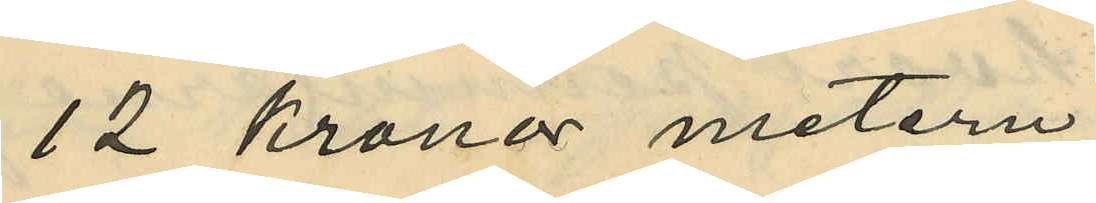12 Kronor metern,
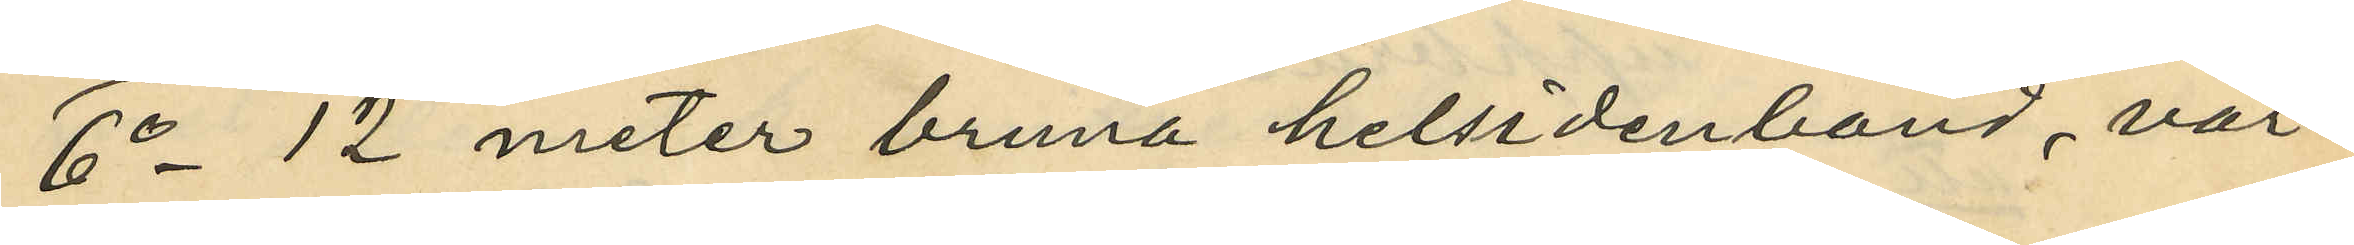6o 12 meter bruna helsidenband, vär¬
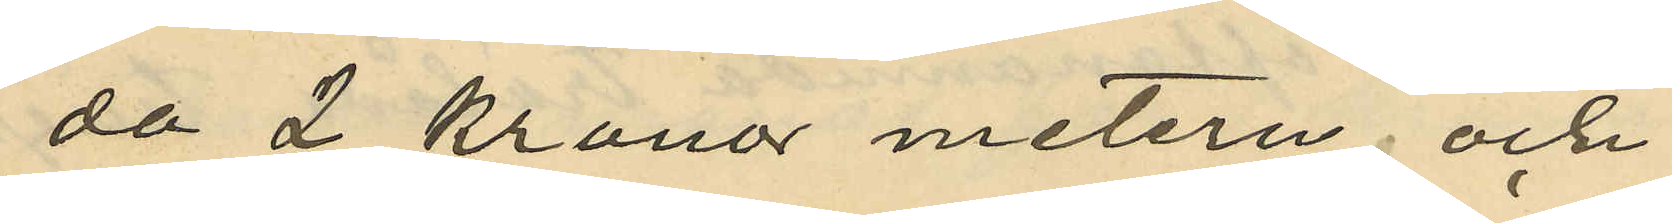da 2 kronor metern, och
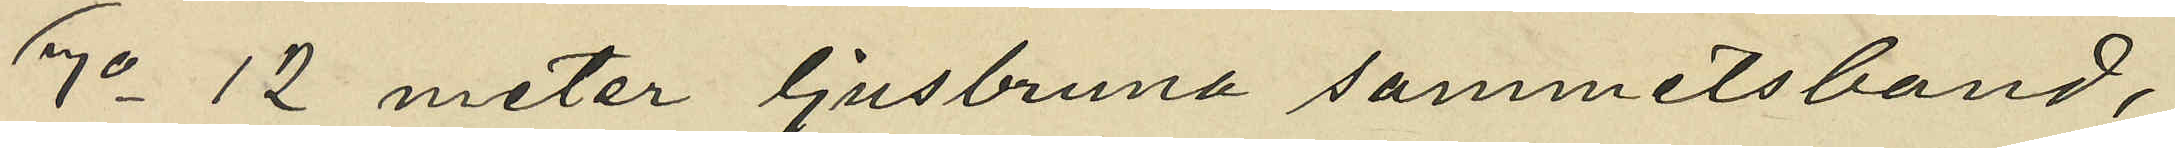7o 12 meter ljusbruna sammetsband,
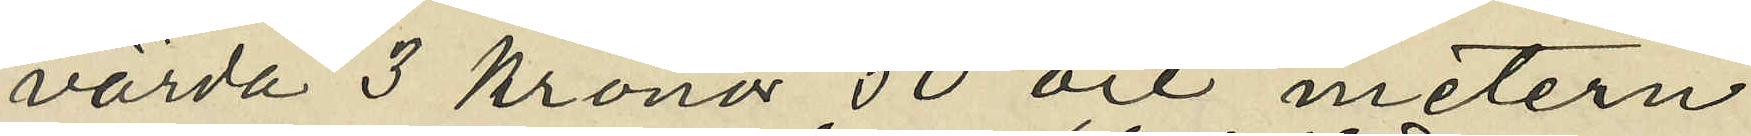värda 3 Kronor 50 öre metern.
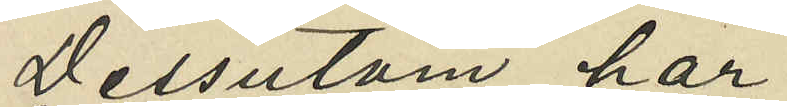Dessutom har
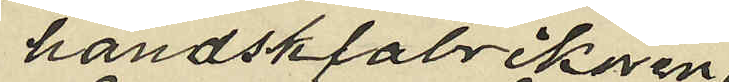handskfabrikören
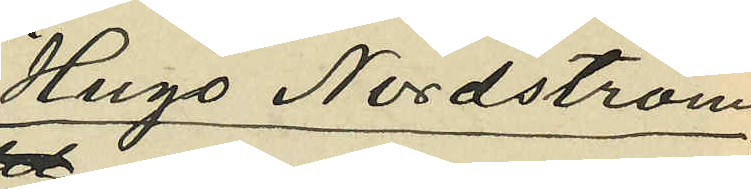Hugo Nordström,
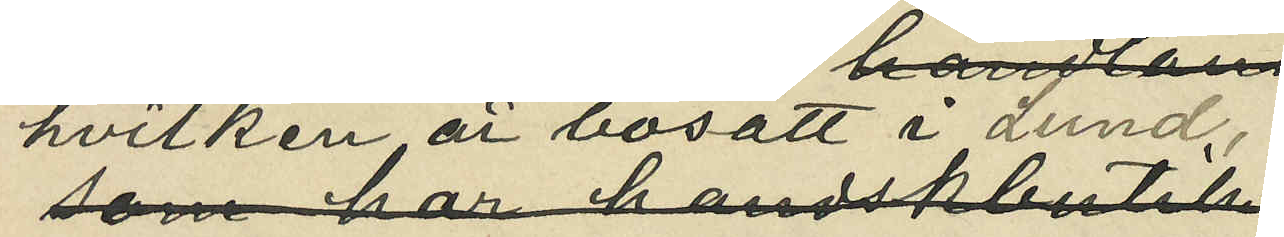hvilken är bosatt i Lund,
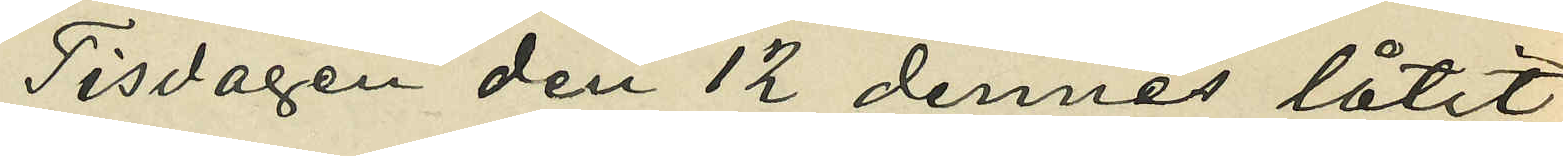Tisdagen den 12 dennes låtit
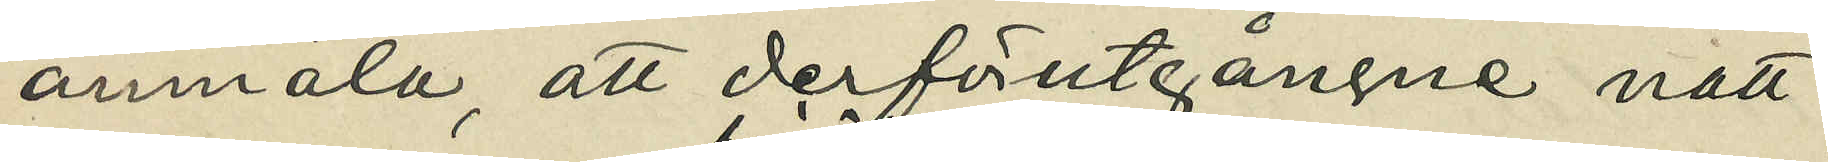anmäla, att derförutgångne natt
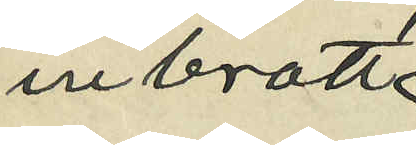inbrott
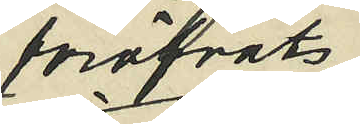föröfvats
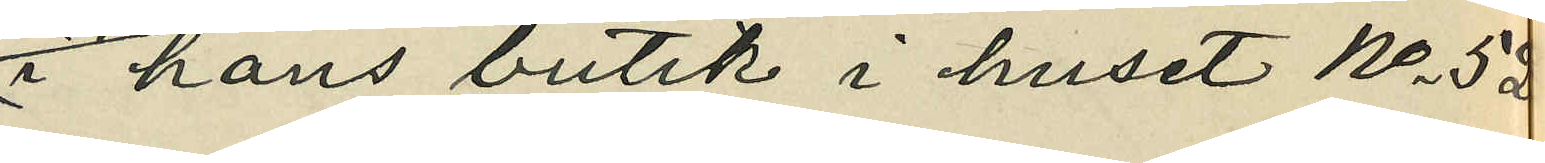i hans butik i huset No 52
